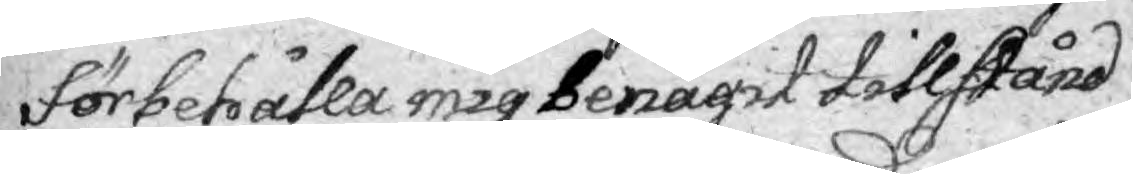förbehålla mig benägit tillstånd
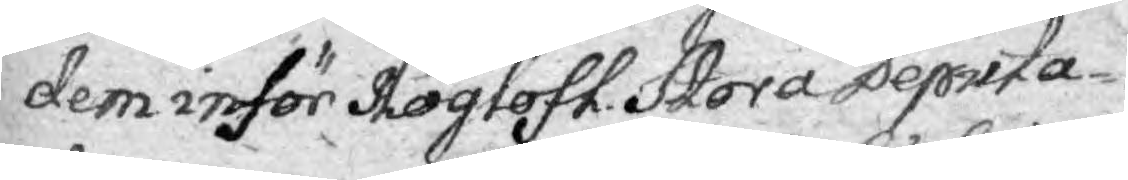dem inför Höglofl. Stora Deputa¬
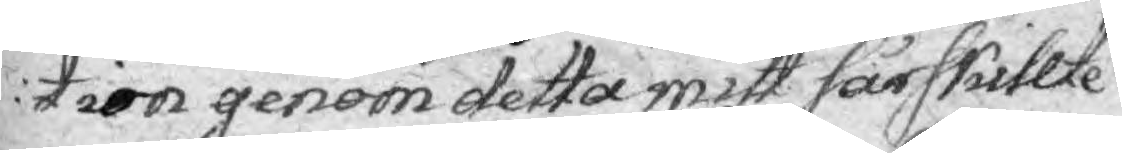tion genom detta mitt särskillte
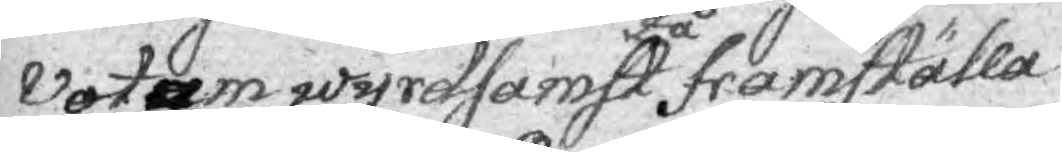Votum wyrdsamst framställa
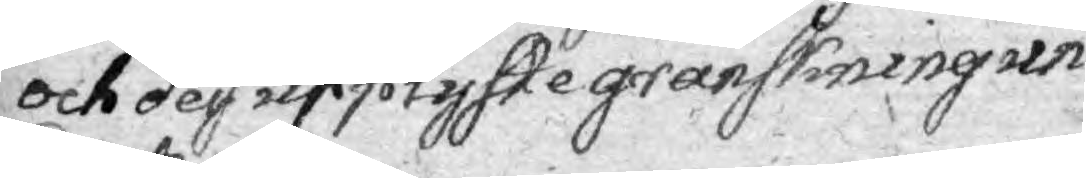och dess egen upplyste granskningen un¬
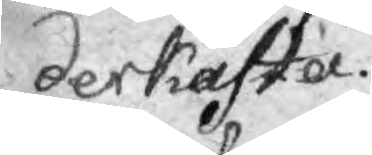derkasta.
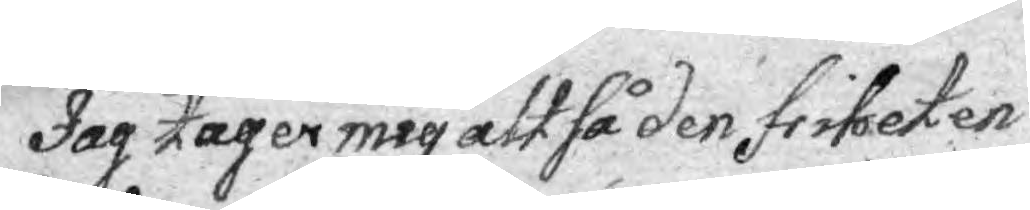Jag tager mig att så den friheten
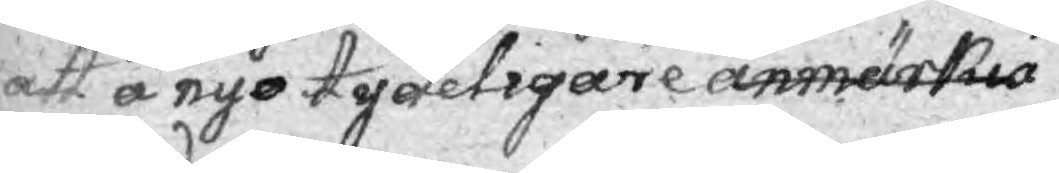att å nyo tydeligare anmärka
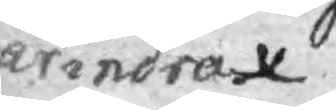ärindra.
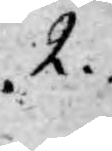2.
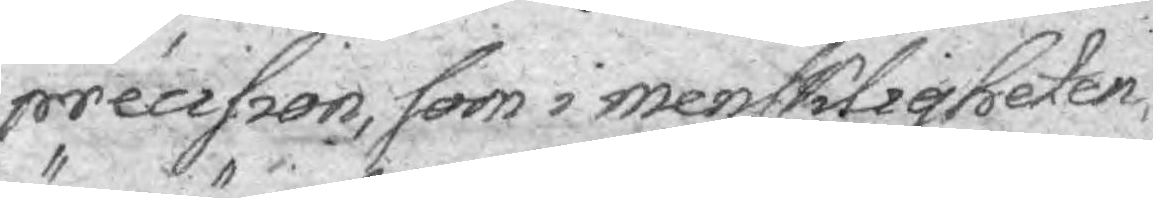precision, som i menskligheten,
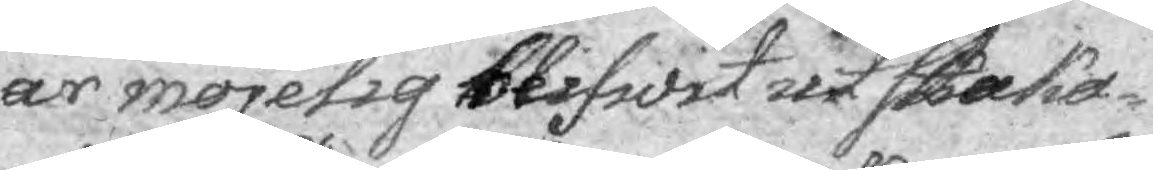är möjelig blifwit utskaka¬
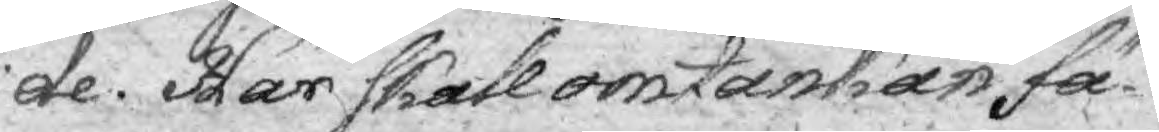de. Här skall omtankan fä¬
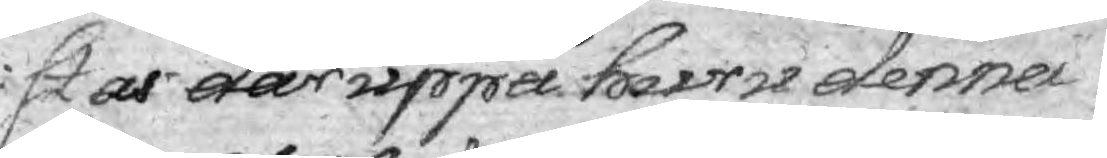stas däruppå huru denna
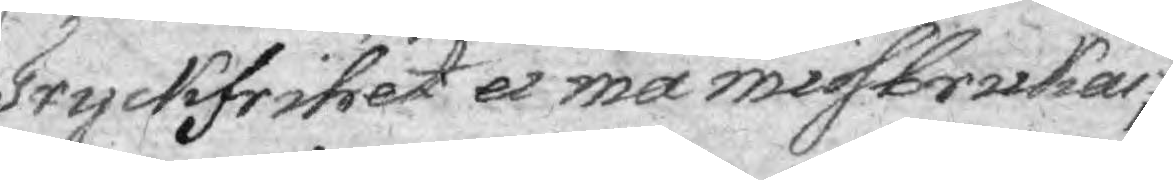Tryckfrihet ei må missbrukas;
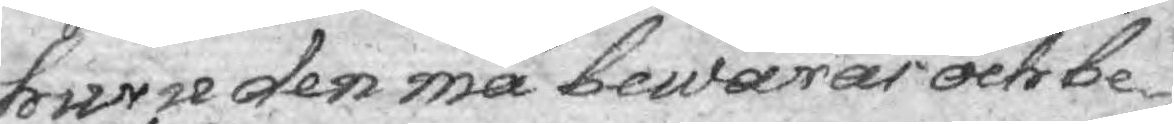huru den må bewaras och be¬
